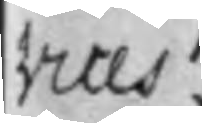vices, 
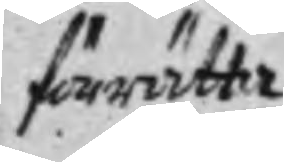förrätta
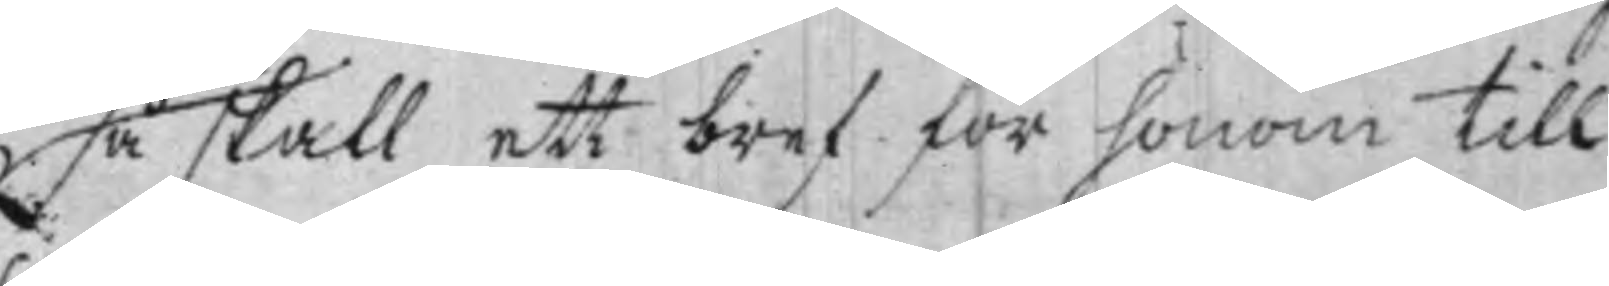så skall ett bref för honom till
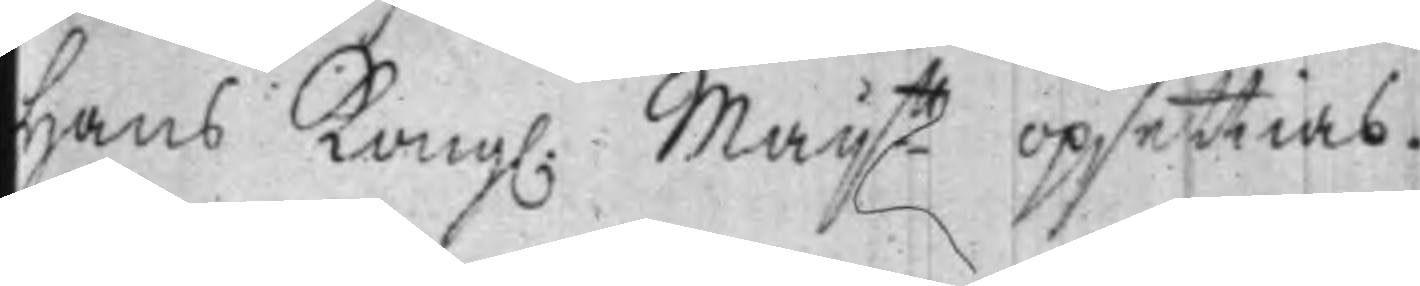Hans Kong: Maij.tt opsettias.
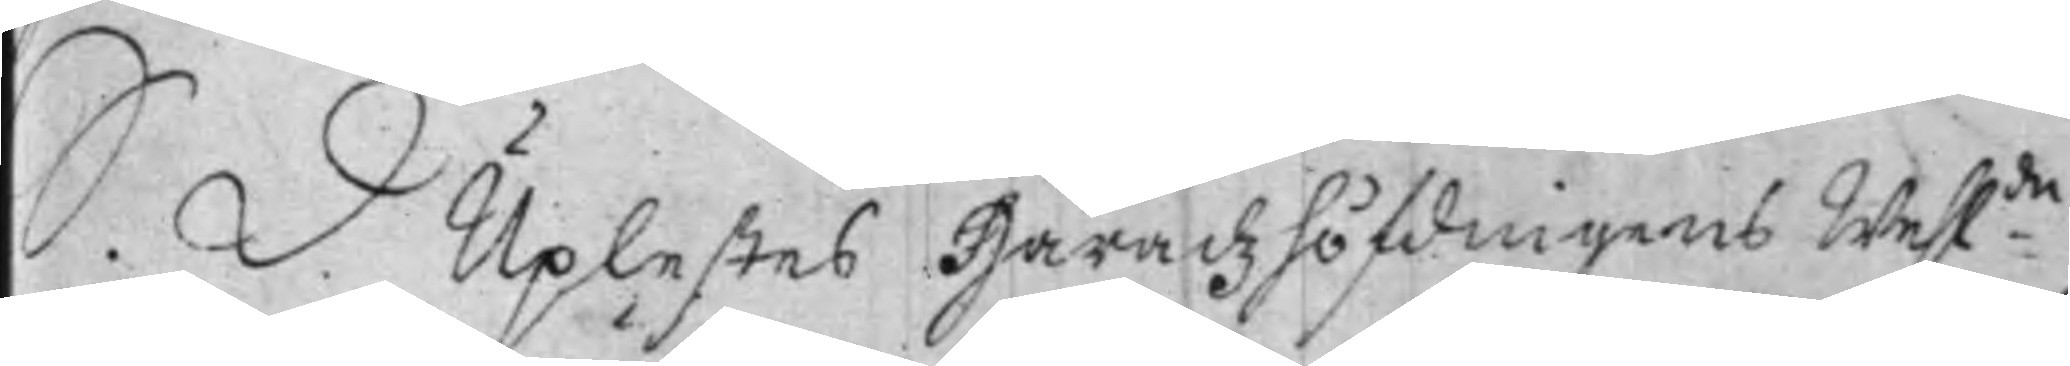S. D. Uplestes Häradzhöfdingens Wehl:de
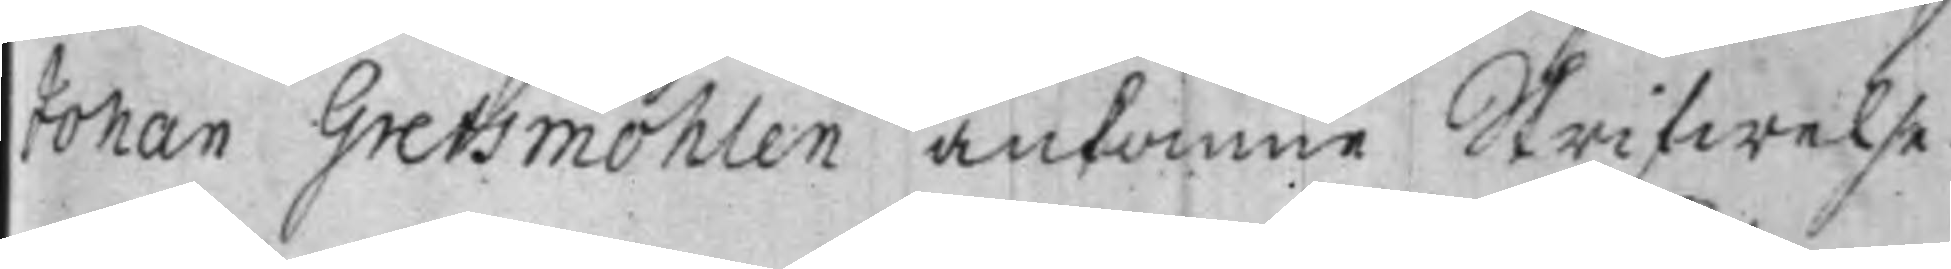Johan Grefsmöhlen ankomne Skrifwelse
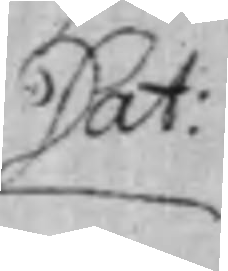Dat:
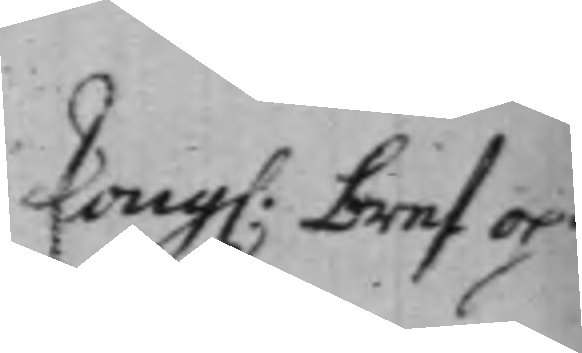Kong: bref op¬
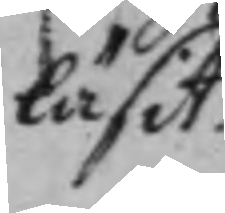läsit.
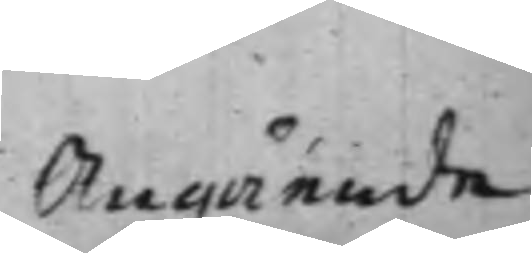Angående
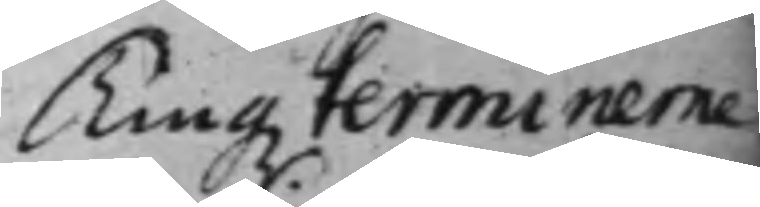Tingz terminerne
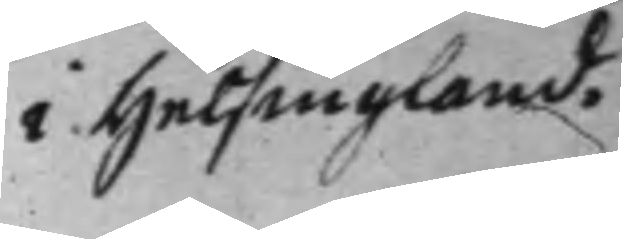i Helsingland.
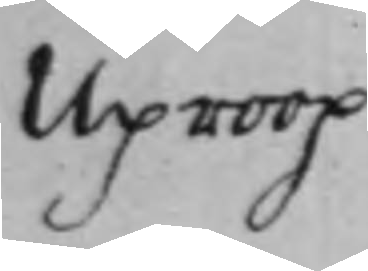Uproop
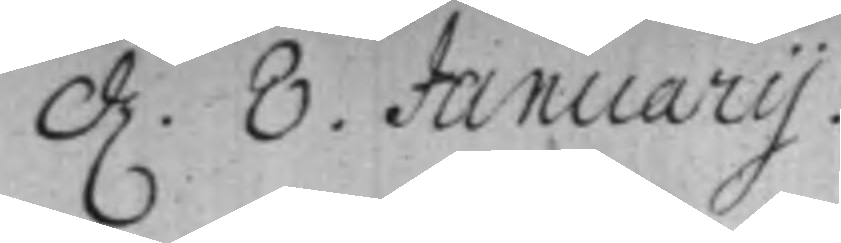d. 8. Januarij.
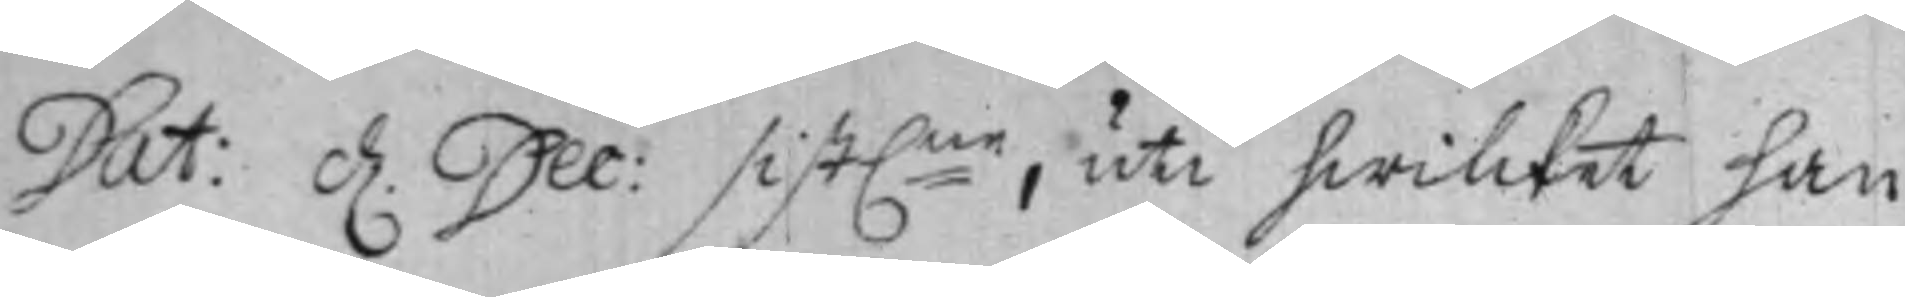Dat: d. Dec: sist:ne, uti hwilcket han
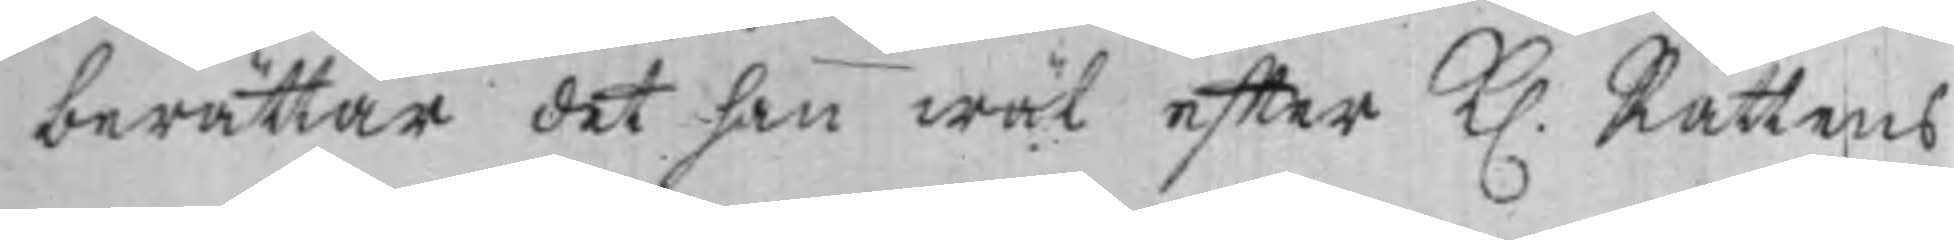berättar det han wäl effter K. Rättens
